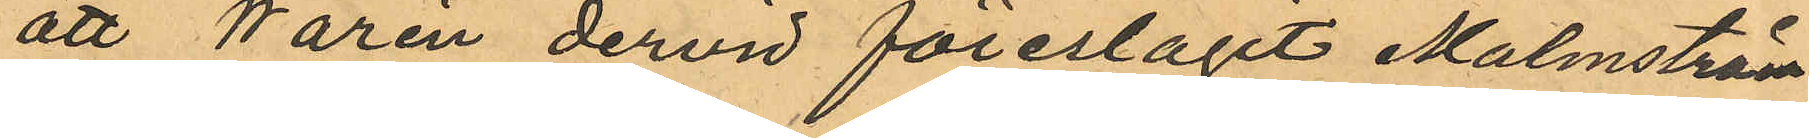att Warén dervid föreslagit Malmström
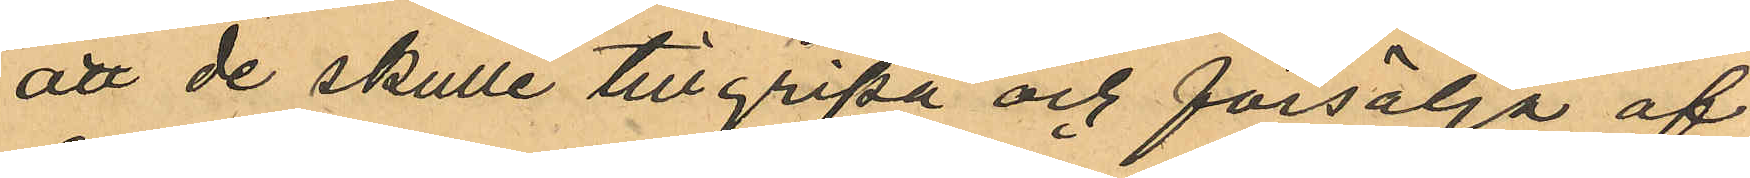att de skulle tillgripa och försälja af
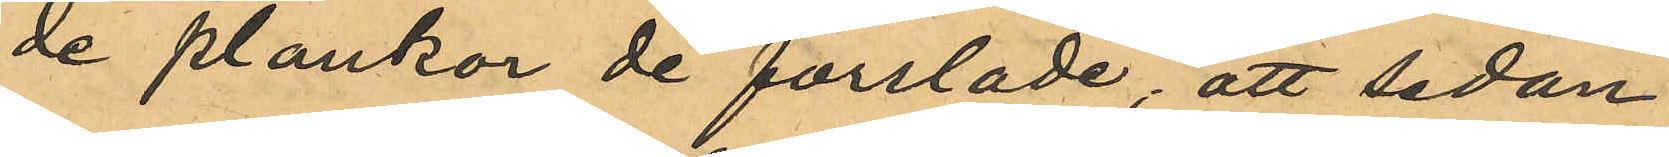de plankor de forslade; att sedan
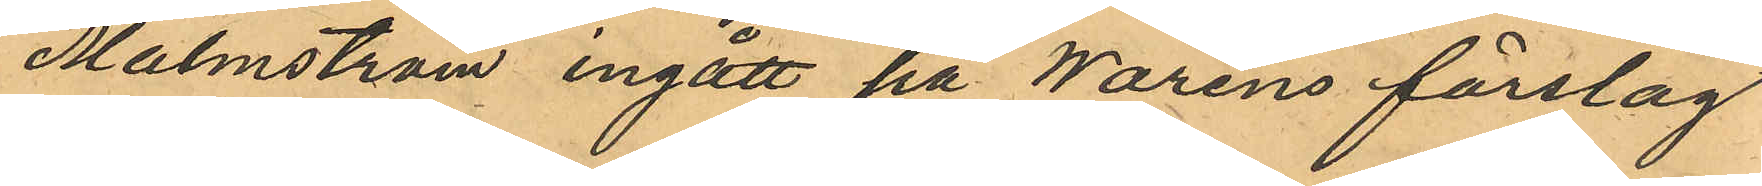Malmström ingått på Waréns förslag
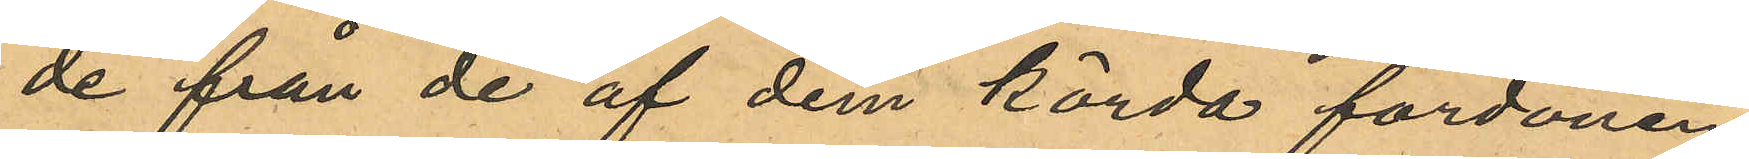de från de af dem körda fordonen
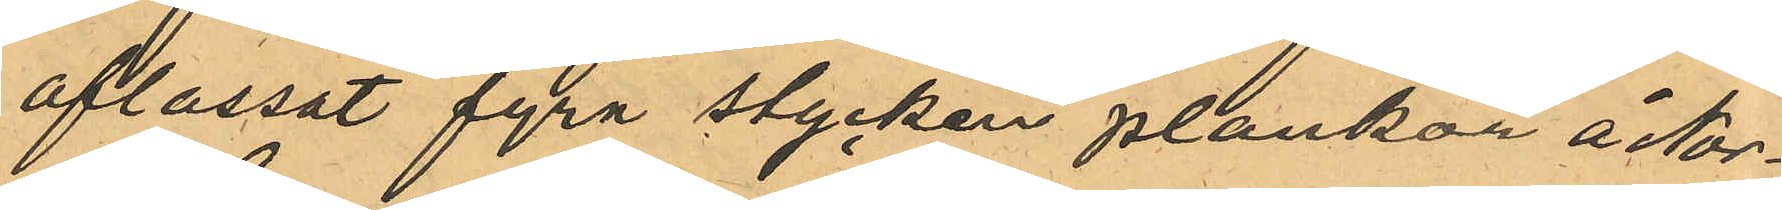aflassat fyra stycken plankor å Nor¬
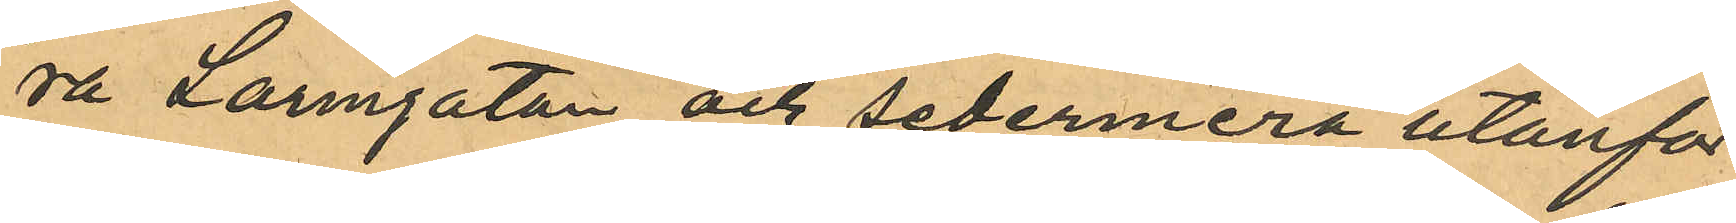ra Larmgatan och sedermera utanför
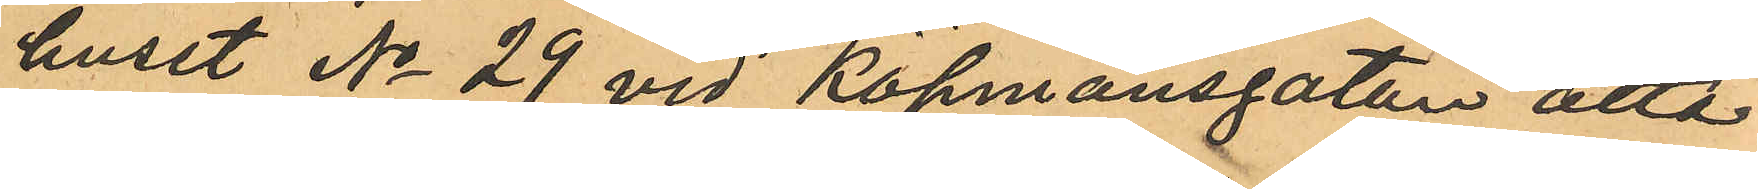huset No 29 vid Köpmansgatan åtta
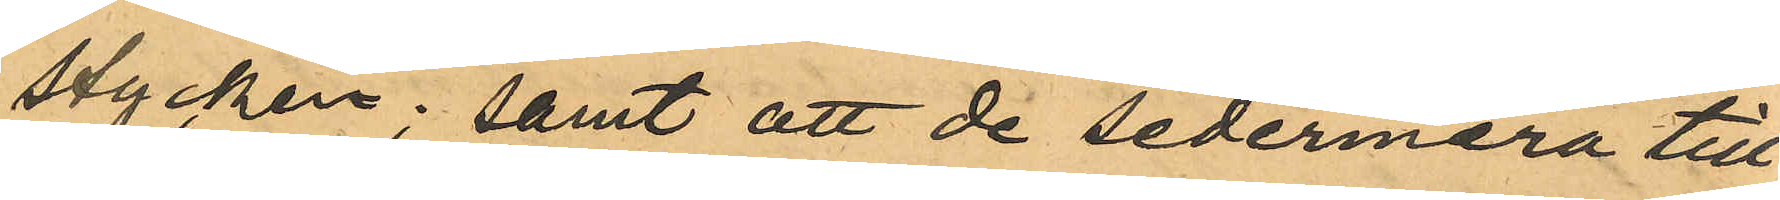stycken; samt att de sedermera till
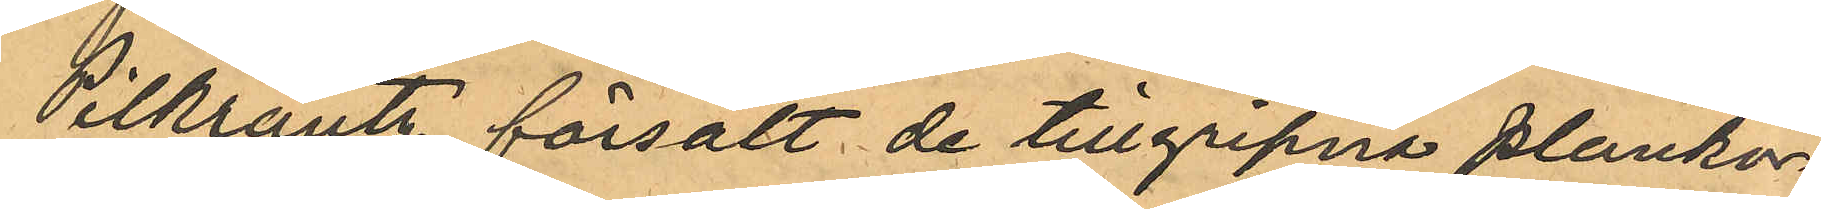Pilkrantz försålt de tillgripna plankor¬
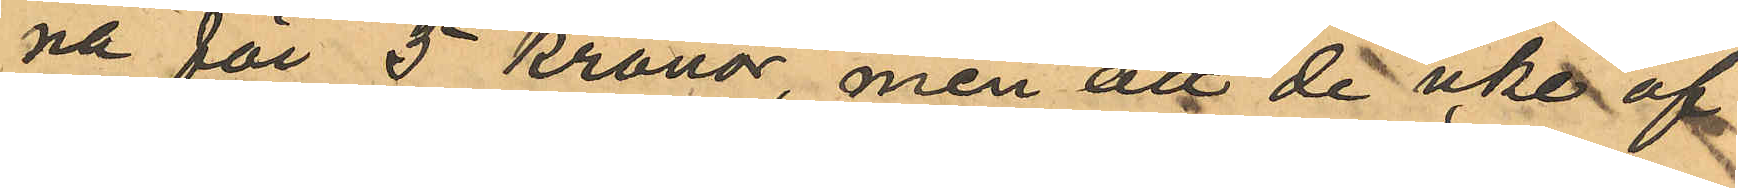na för 5 kronor, men att de icke af
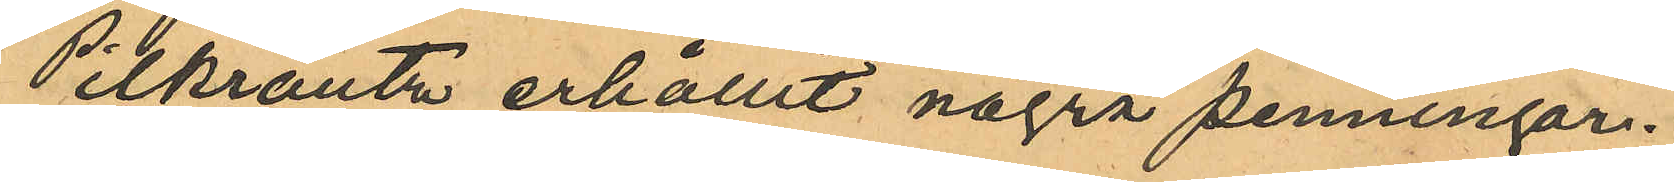Pilkrantz erhållit några penningar.
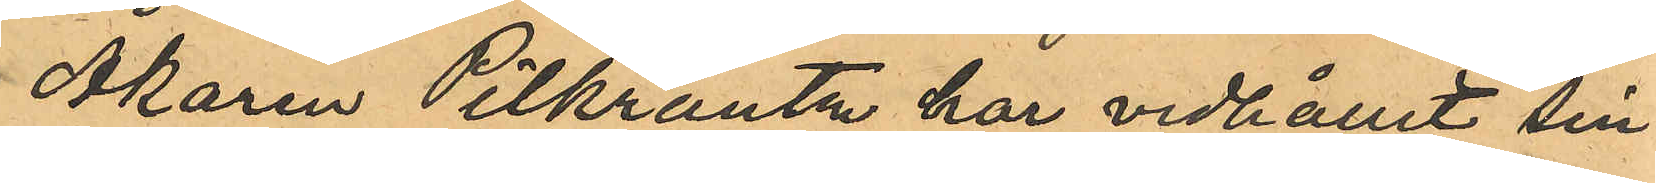Åkaren Pilkrantz har vidhållit sin
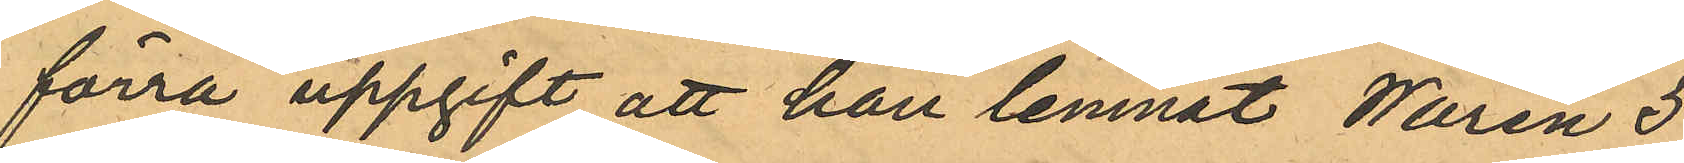förra uppgift att han lemnat Warén 5
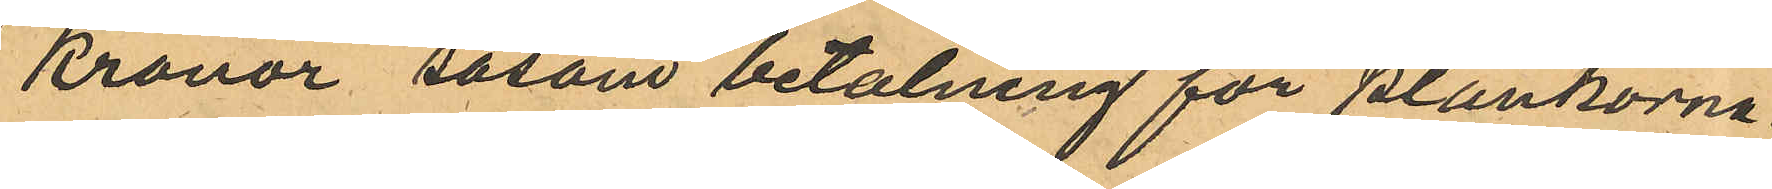Kronor såsom betalning för plankorna
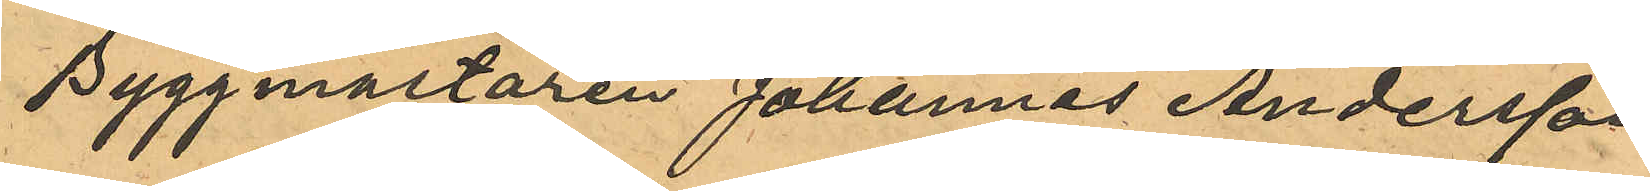Byggmästaren Johannes Andersson
